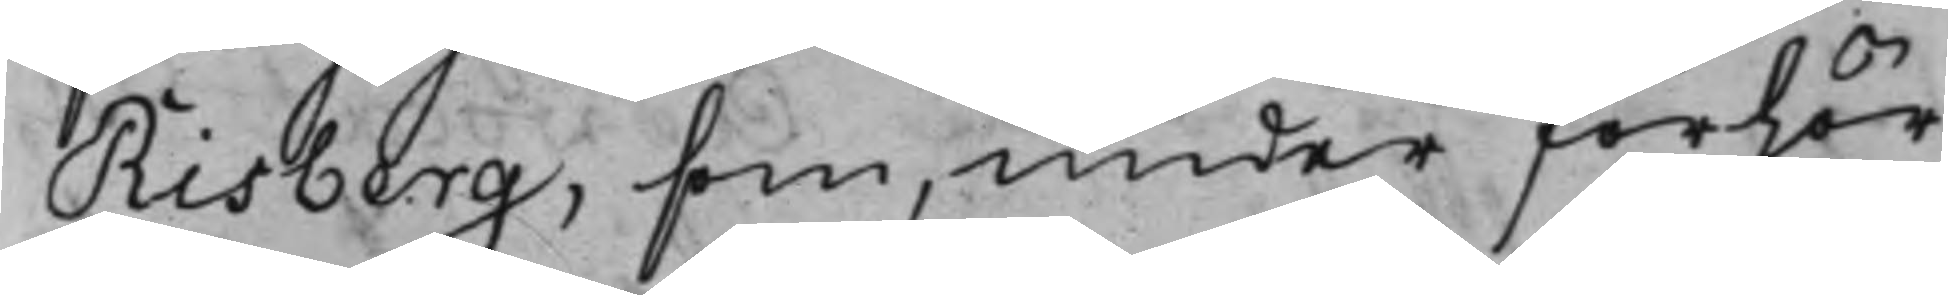Risberg, som, under förhör
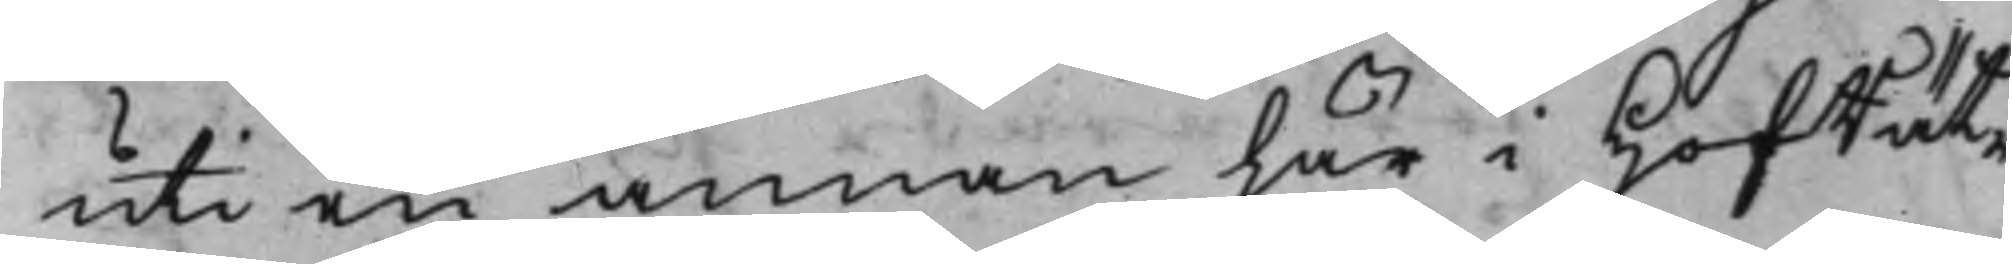uti en annan här i HofRät¬
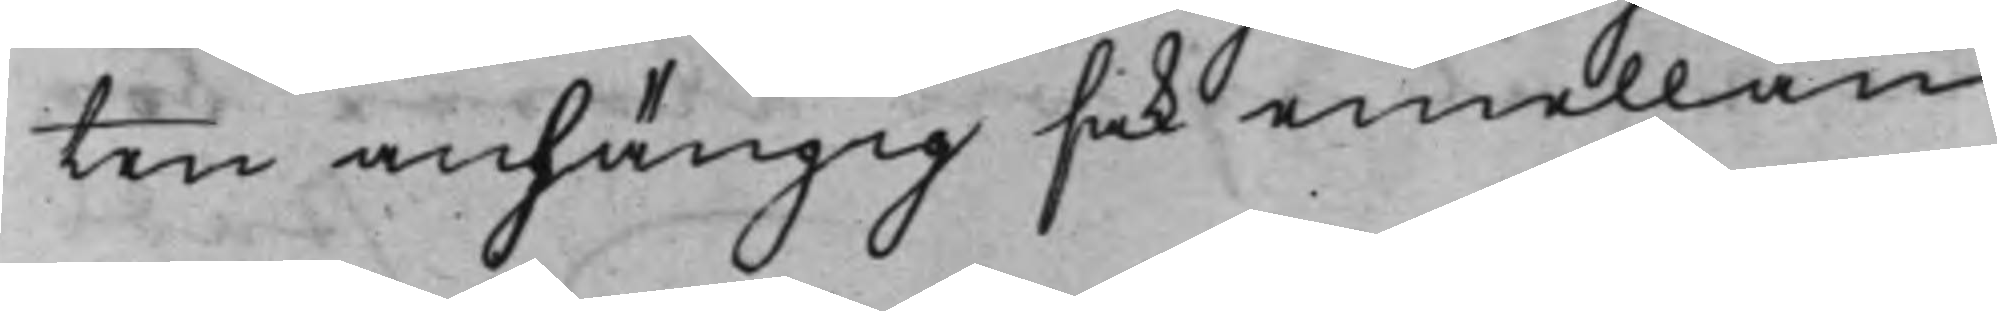ten anhängig sak emellan
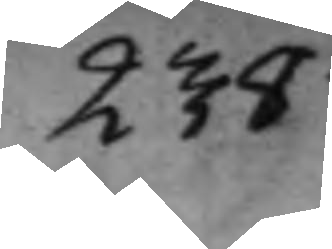238
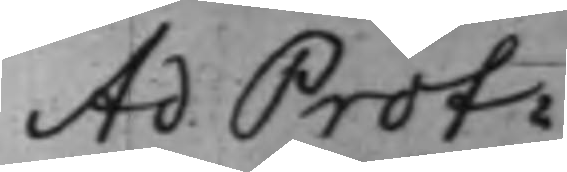Ad. Prot:
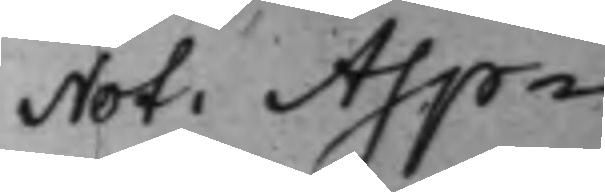Not: Asp¬
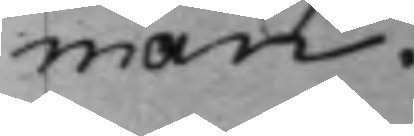man.
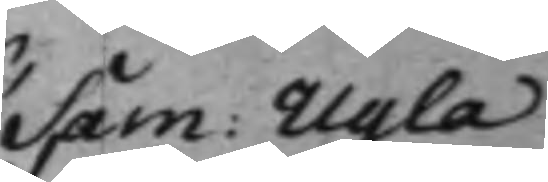Sam: Ugla
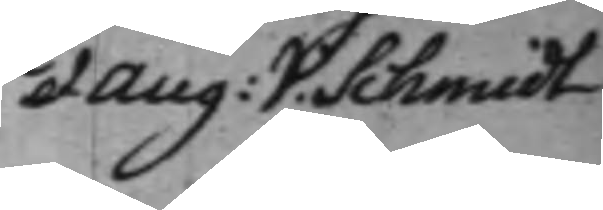et Aug: V. Schmidt
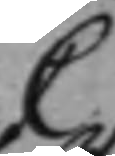C
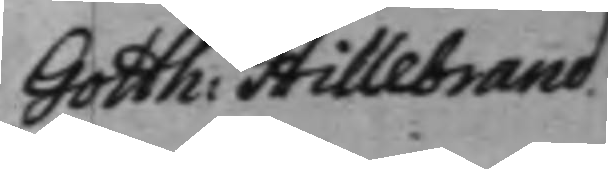Gotth: Hillebrand
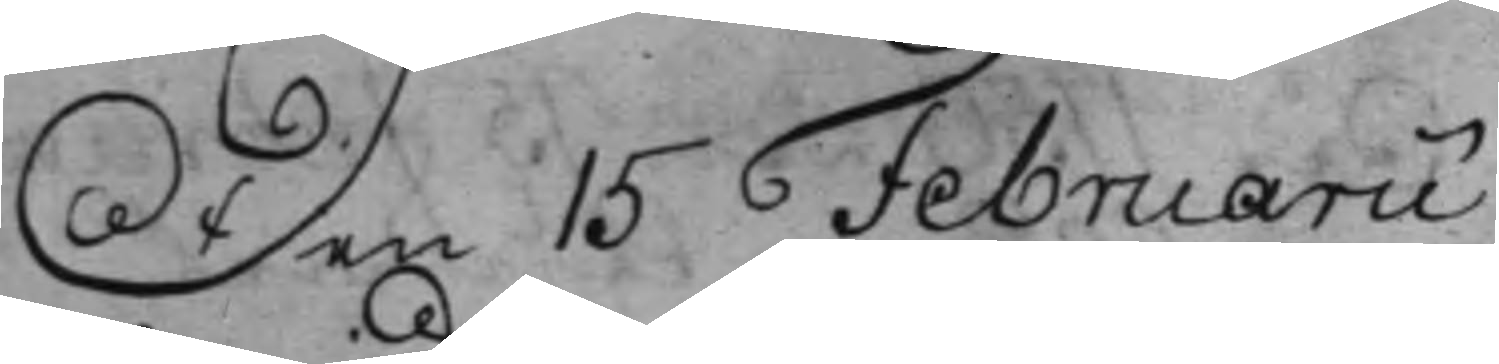Den 15 Februarii
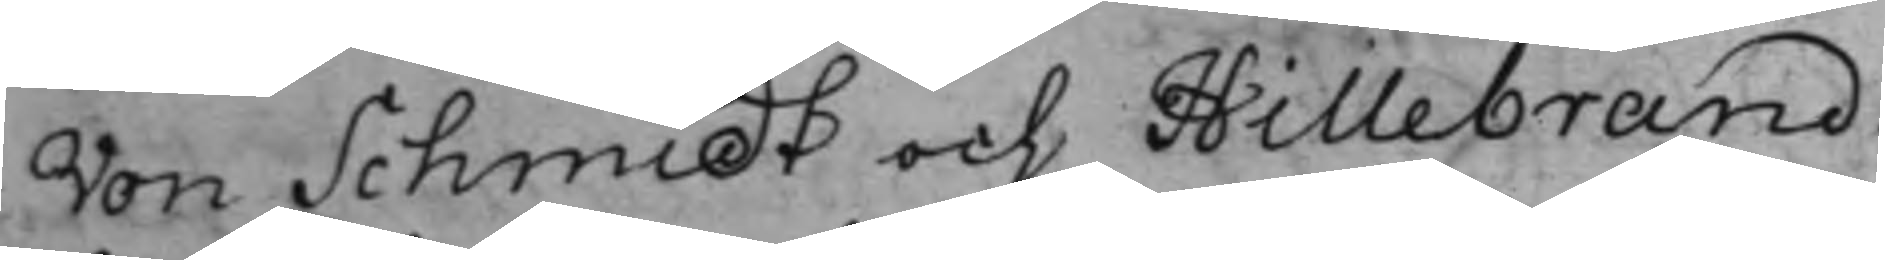Von Schmidt och Hillebrand
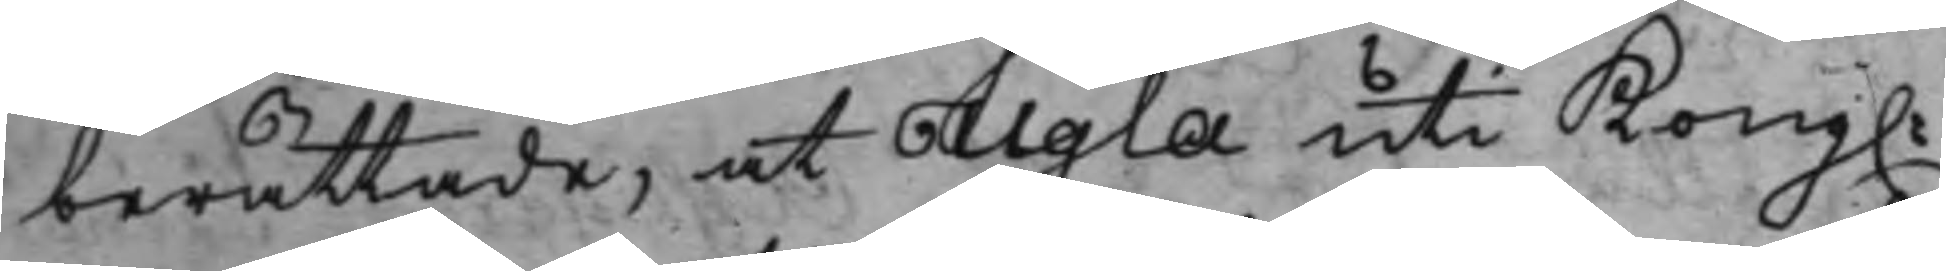berättade, at Ugla uti Kong.
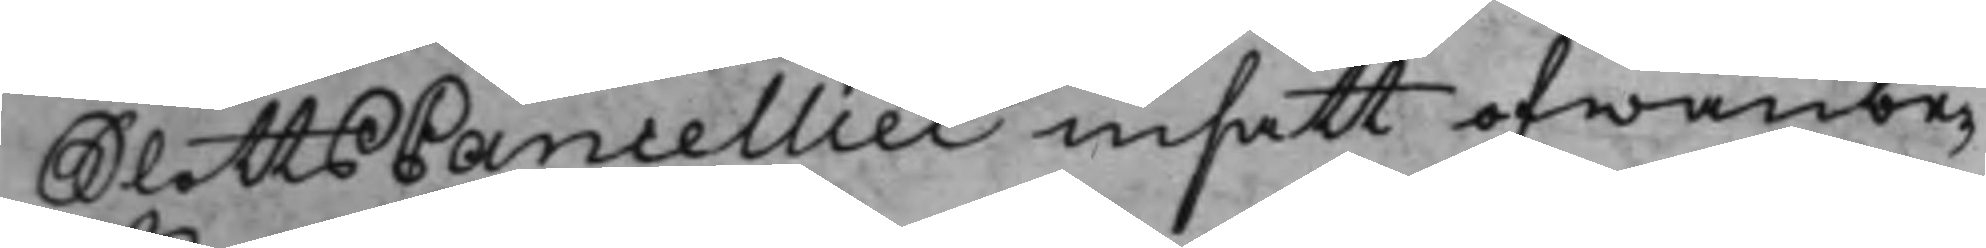SlottsCancelliet insatt ofwanbe¬
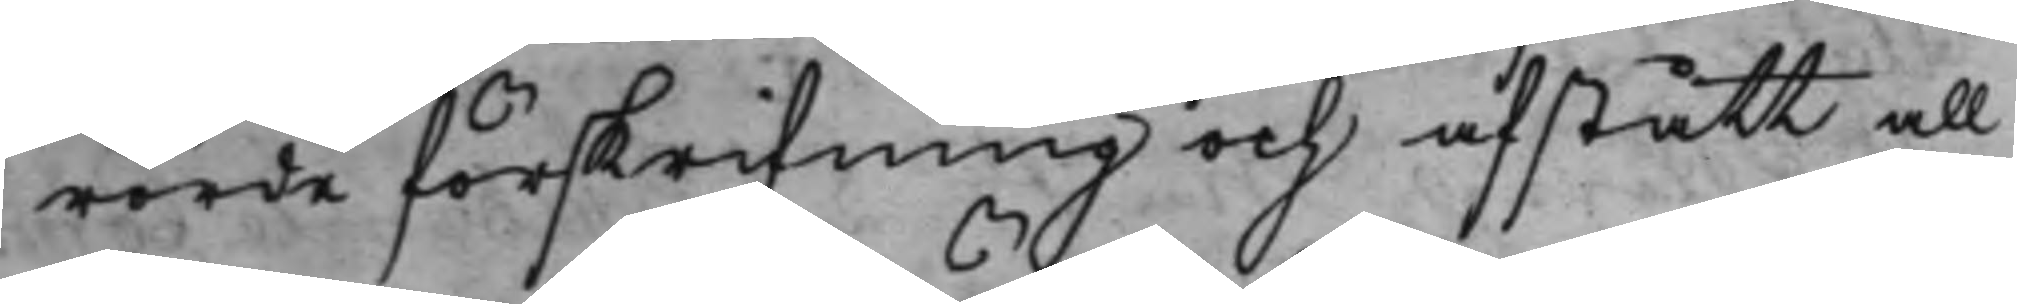rörde förskrifning och afstått all
